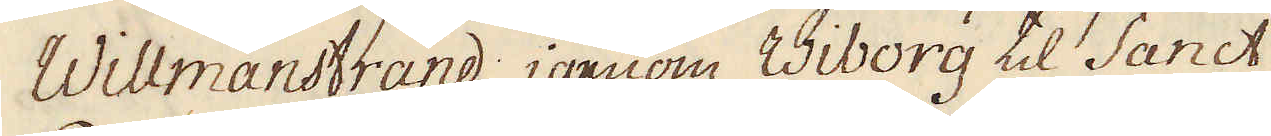Willmanstrand; igenom Wiborg til Sanct
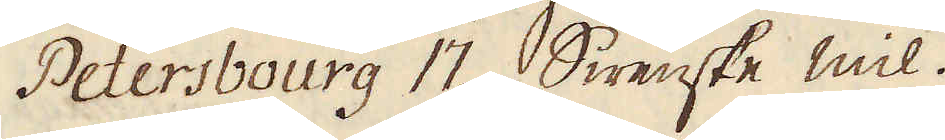Petersbourg 17. Swenske mil.
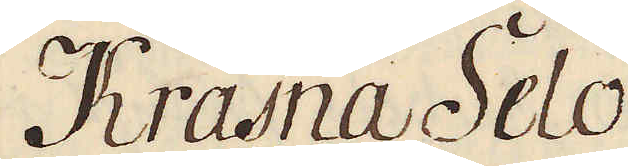Krasna Selo
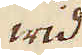wid
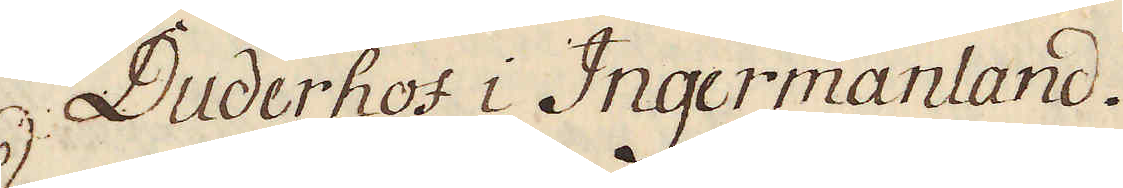Duderhof i Ingermanland.
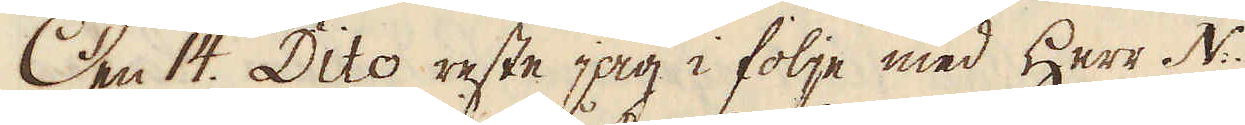Den 14. Dito reste jag i följe med Herr N:
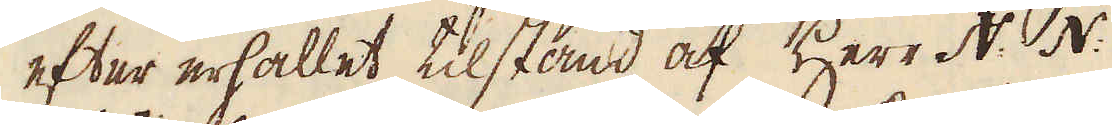efter erhållet tilstånd af Herr N: N:
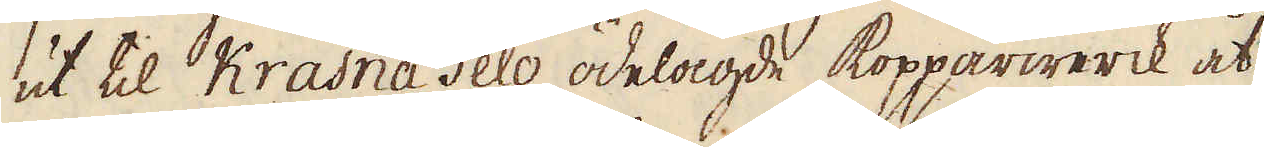ut til Krasna Selo ödelagde kopparwerck åt
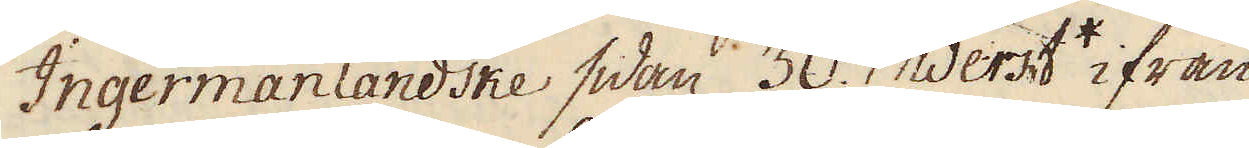Ingermanländske sidan 30. Werst* ifrån
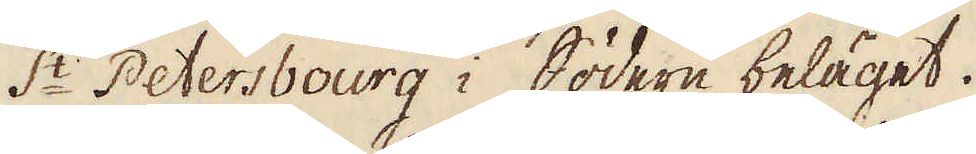S:t Petersbourg i Södern beläget.
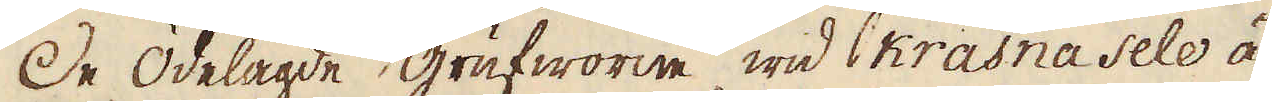De ödelagde grufworne wid Krasna Selo ä-
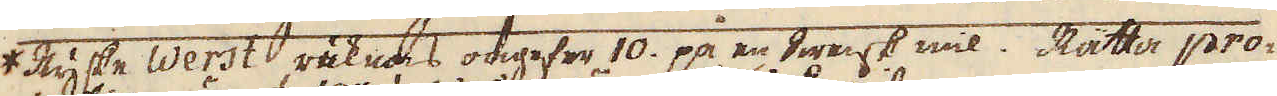*Ryske Werst räknas ongefer 10. på en Swensk mil. Rätta pro-
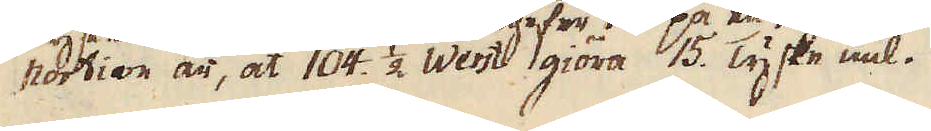portion är, at 104. 1/2. Werst giöra 15. Tyske mil.
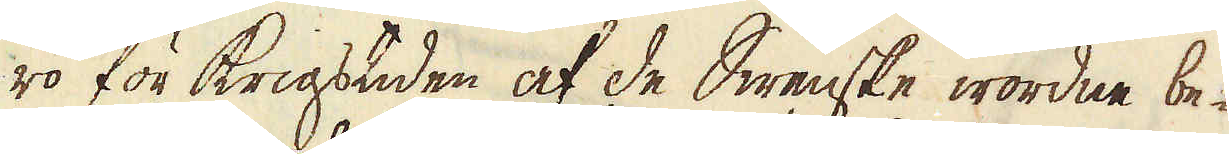ro för krigstiden af de Swenske wordne be-
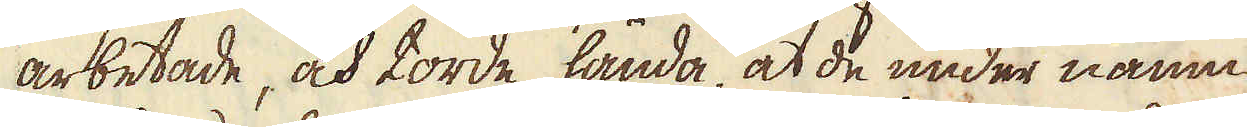arbetade, och torde hända, at de under namn
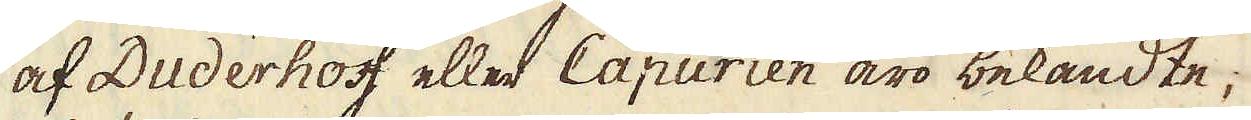af Duderhoff eller Capurien äro bekandte;
